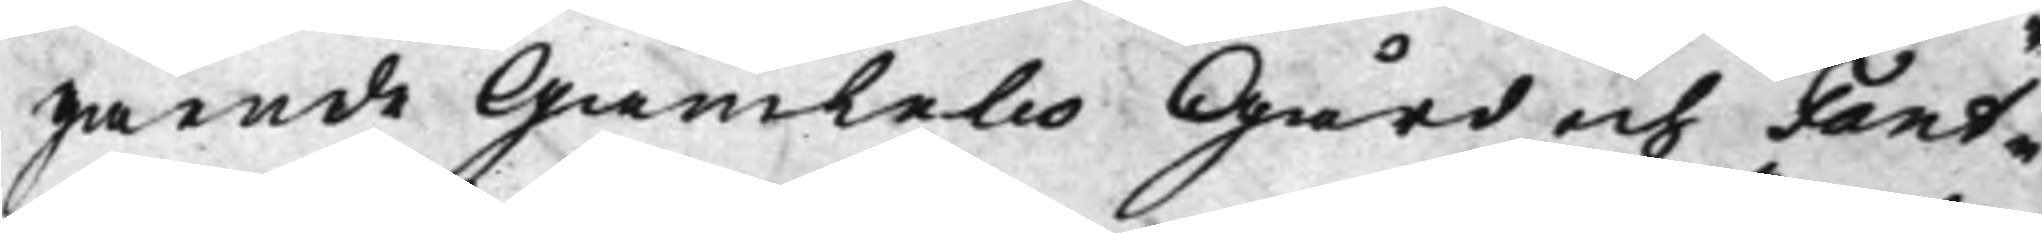gående Gamlebo Gård och Fant¬
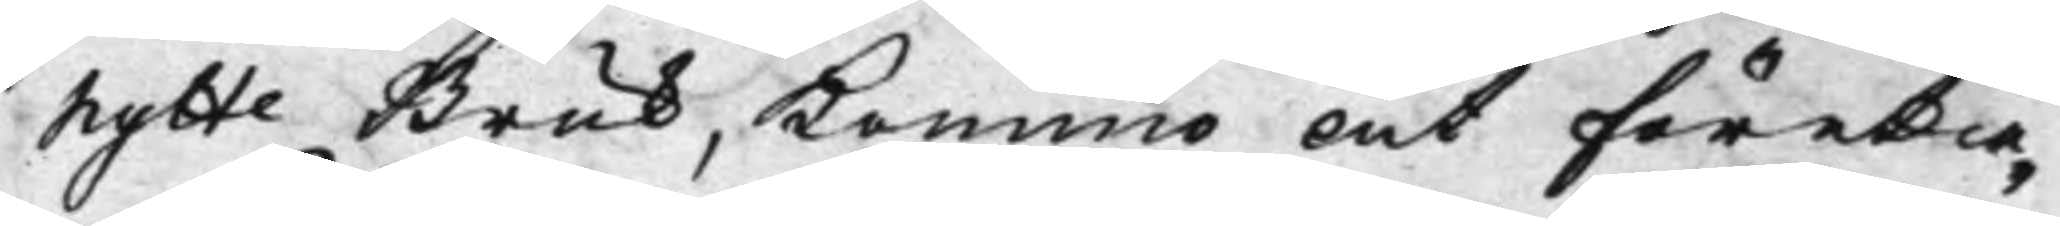hytte Bruk, kommo at företa¬
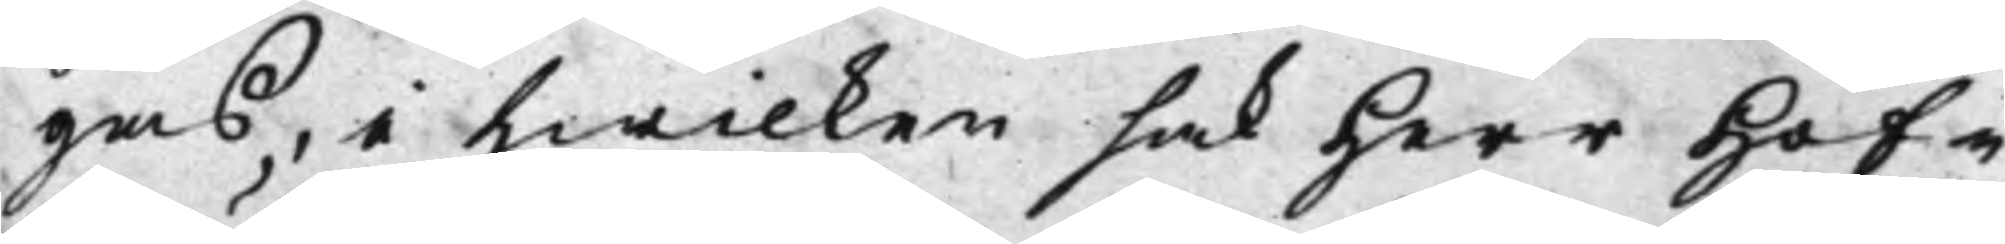gas, i hwilken sak Herr Hof¬
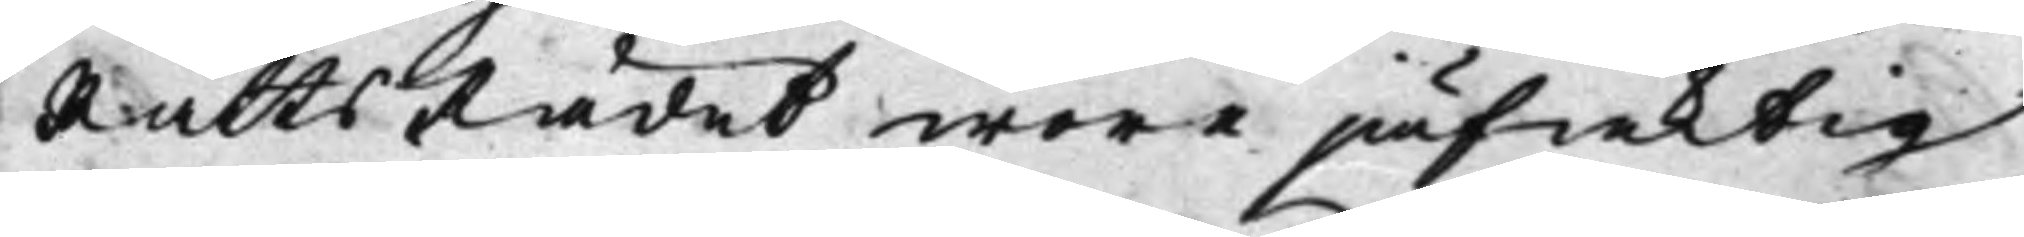RättsRådet wore jäfaktig
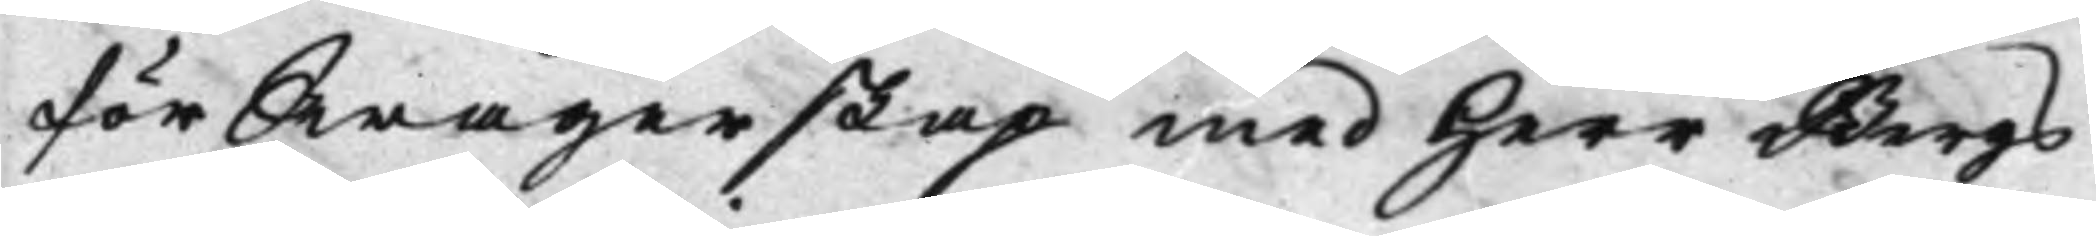för Swågerskap med Herr Bergs¬
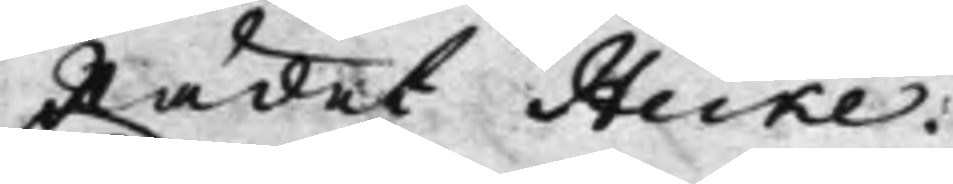Rådet Heike.
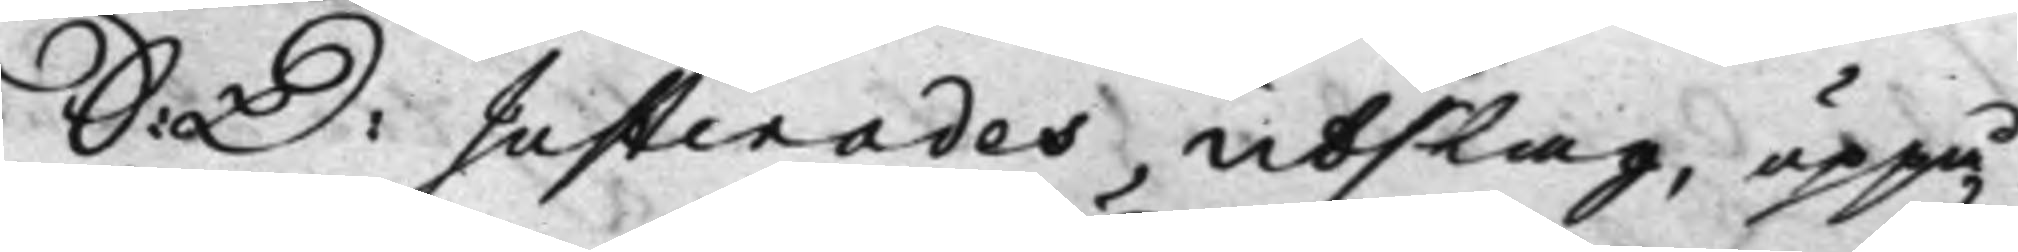S: D: Justerades Utslag, uppå
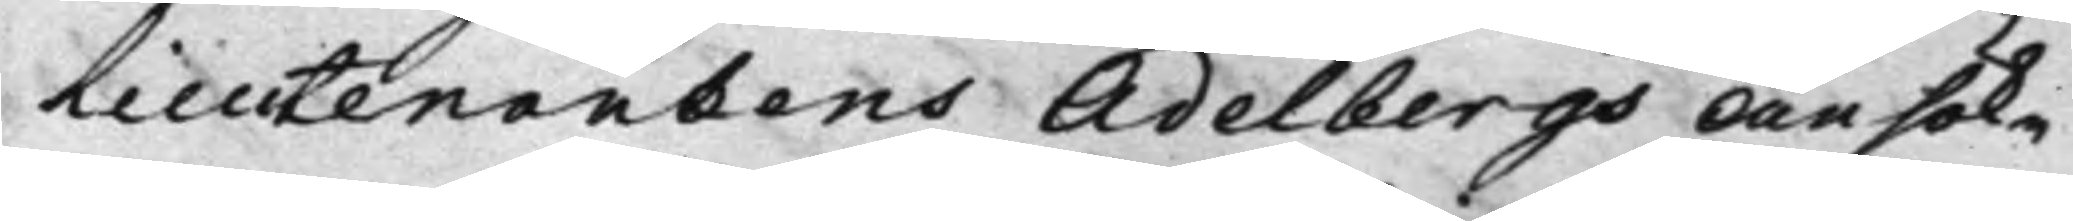Lieutenantens Ädelbergs Ansök¬
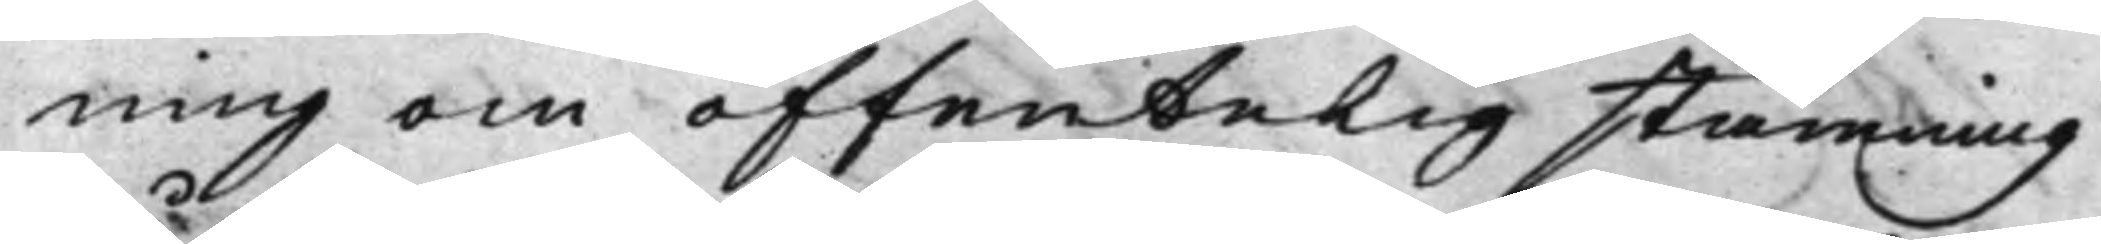ning om offentelig stämning
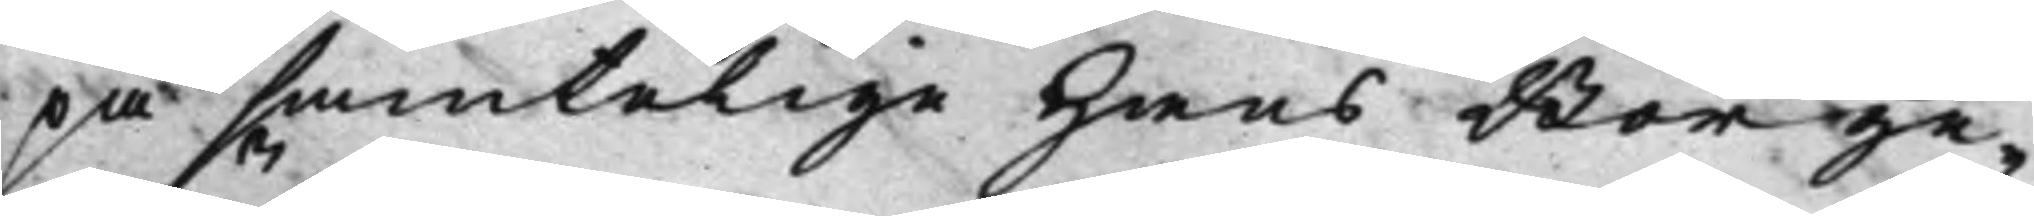på samtelige Hans Borge¬
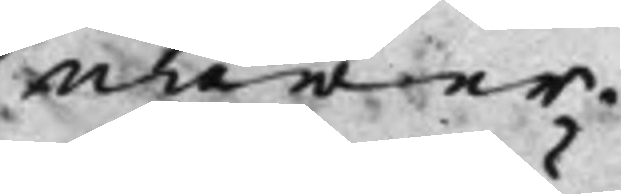närer.
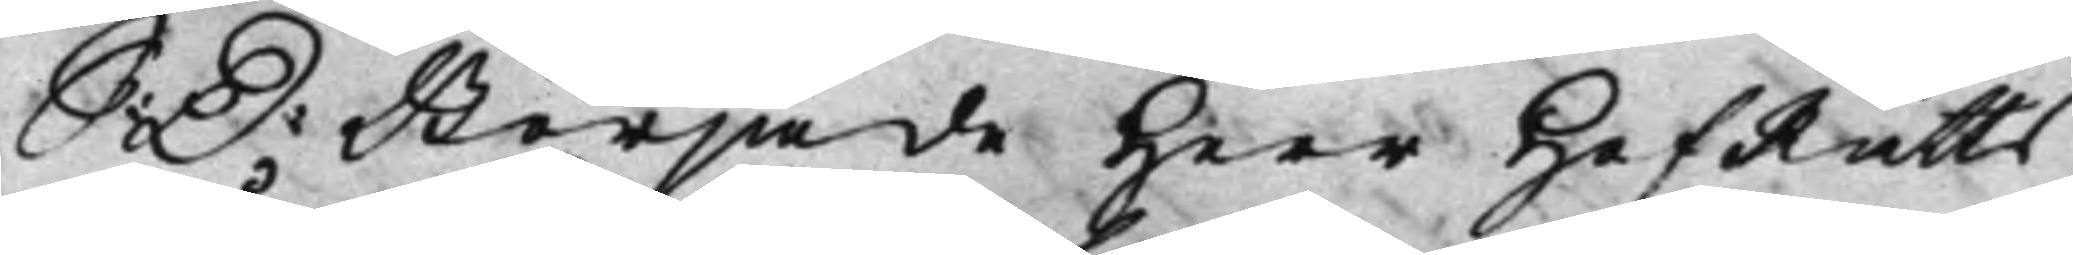S: D: Började Herr HofRätts
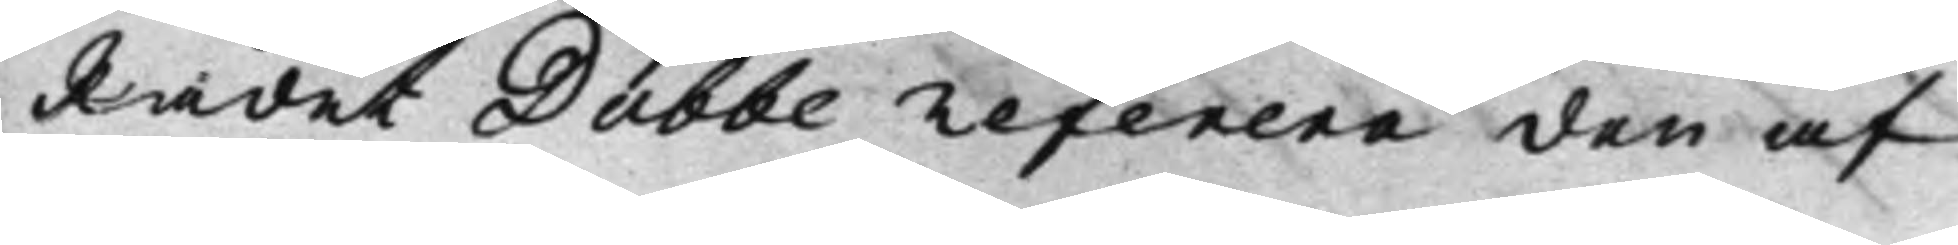Rådet Dubbe referera den af
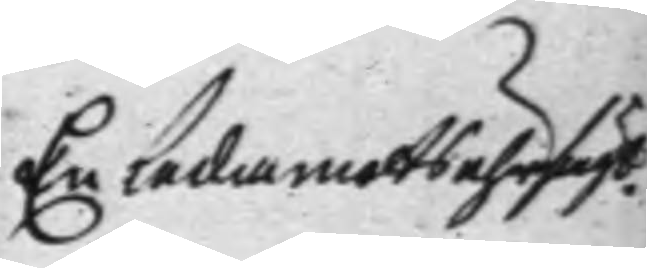En ledamots uhrsächt.
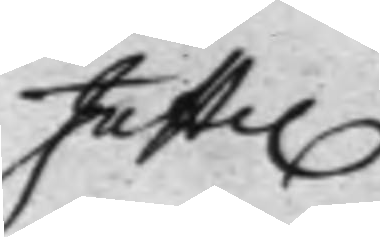Juste.
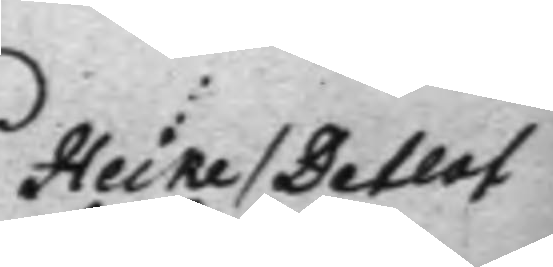Heike / Detlof
